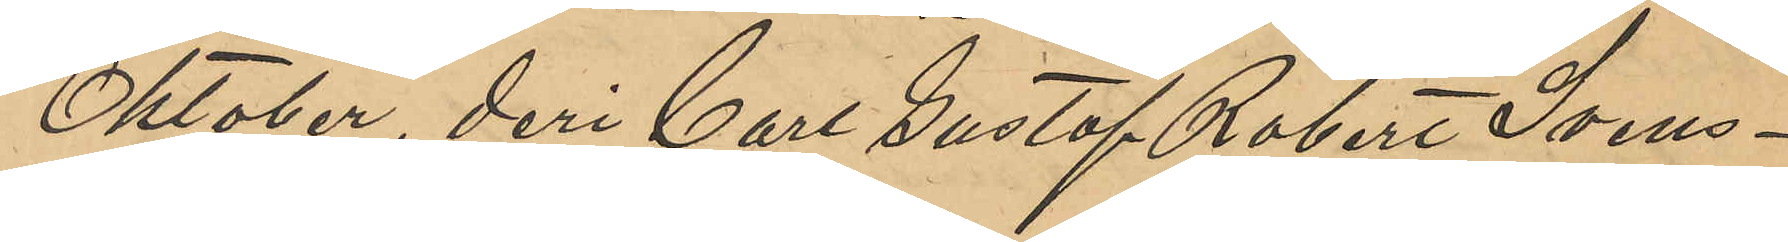Oktober, deri Carl Gustaf Robert Svens¬
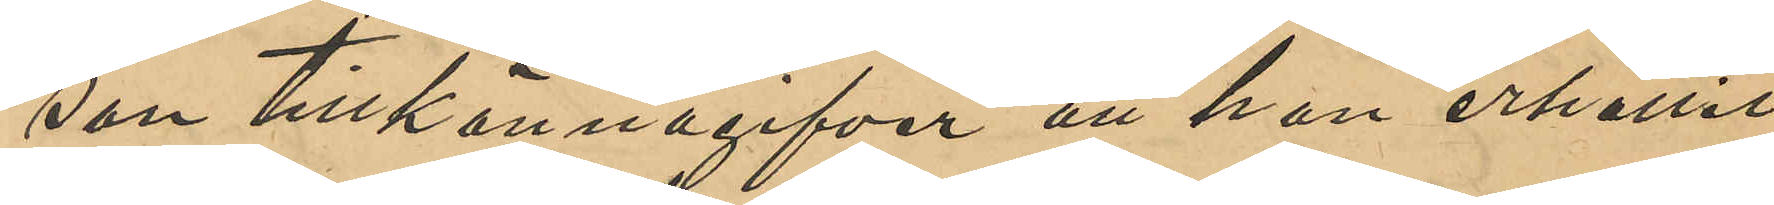som tillkännagifver att han erhållit
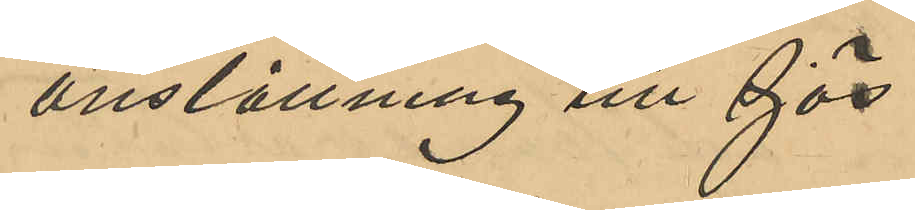anställning till sjös.
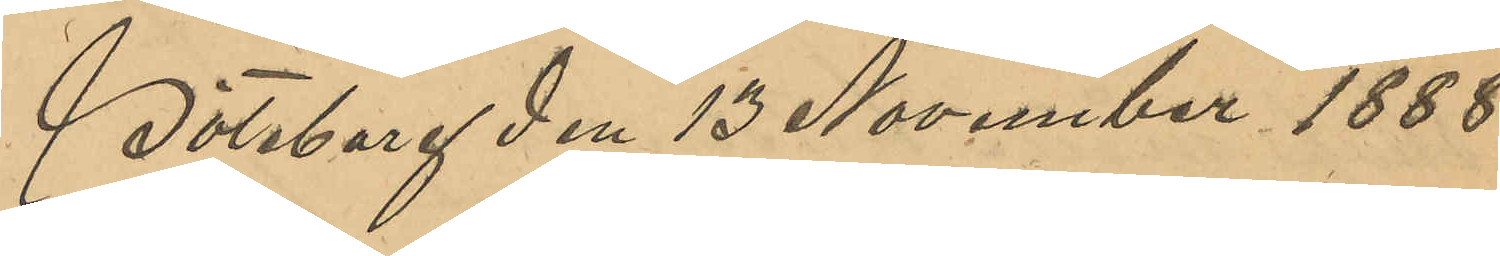Göteborg den 13 November 1888.
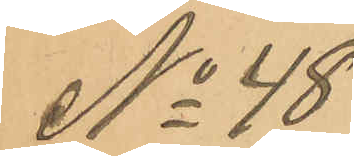No 48
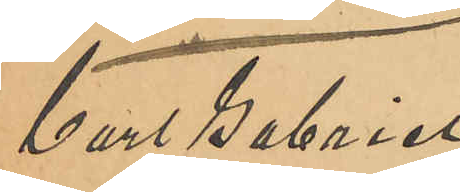Carl Gabriel
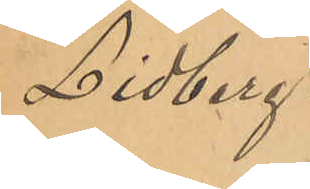Lidberg.
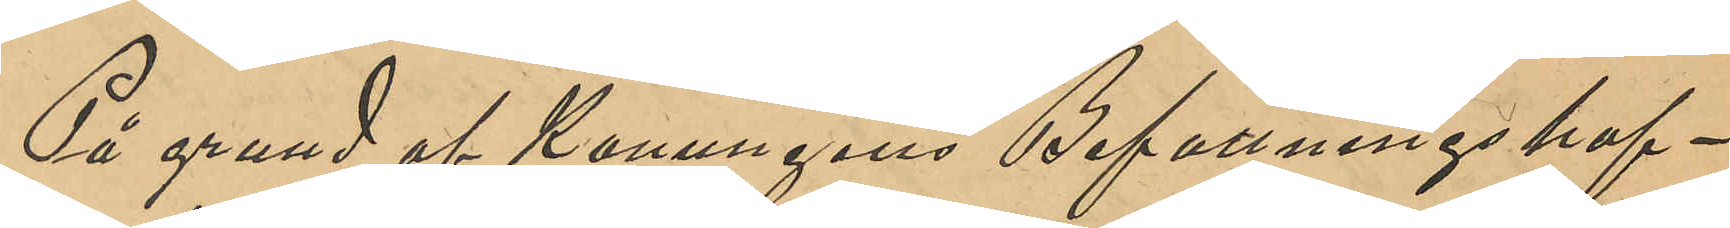På grund af Konungens Befallningshaf¬
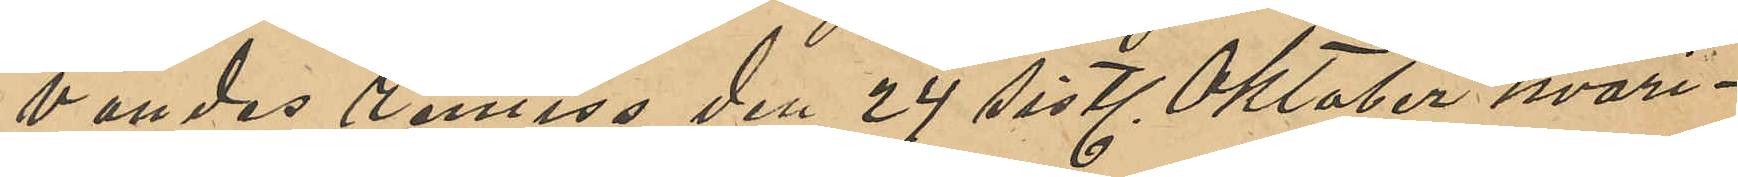vandes remiss den 24 sistl Oktober hvari¬
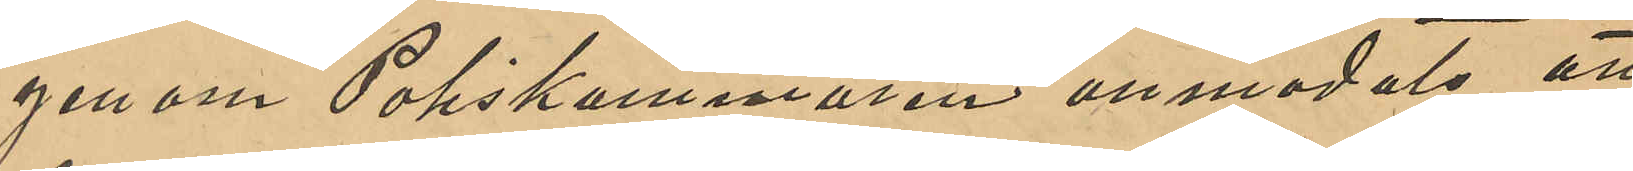genom Poliskammaren anmodats att
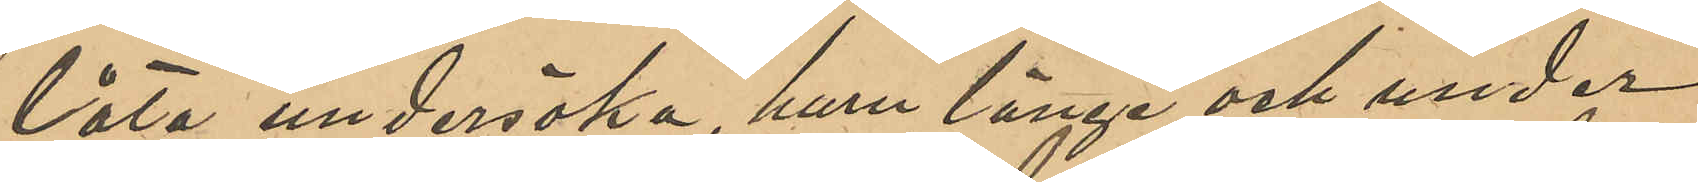låta undersöka, huru länge och under
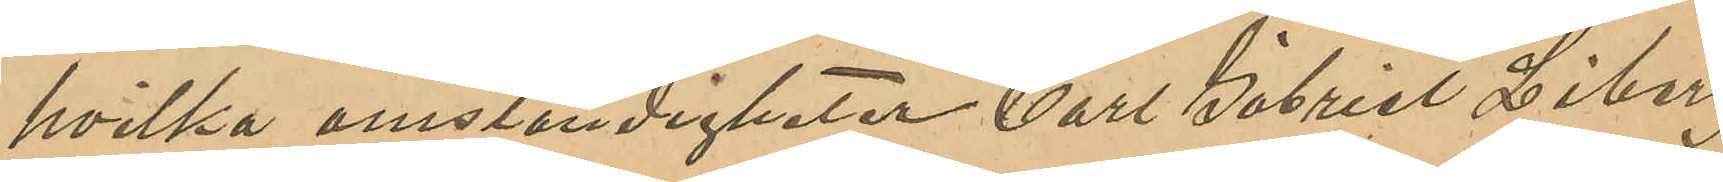hvilka omständigheter Carl Gabriel Lidberg
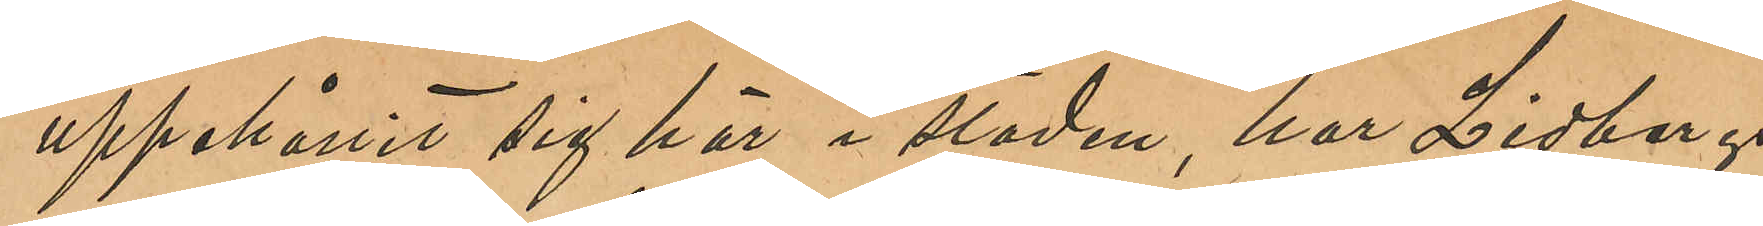uppehållit sig här i staden, har Lidbergs
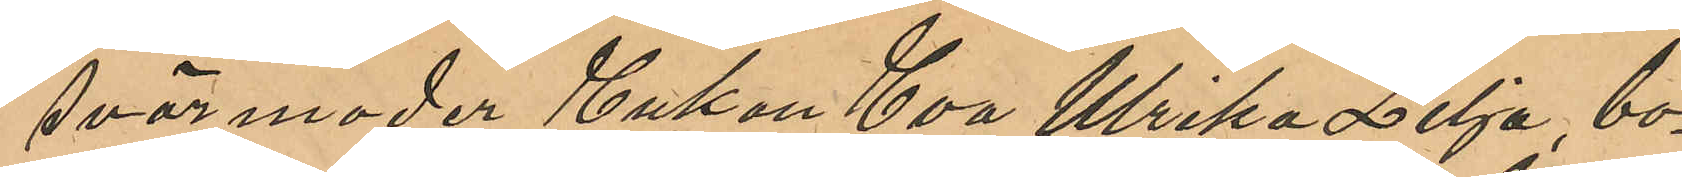svärmoder Enkan Eva Ulrika Lilja, bo¬
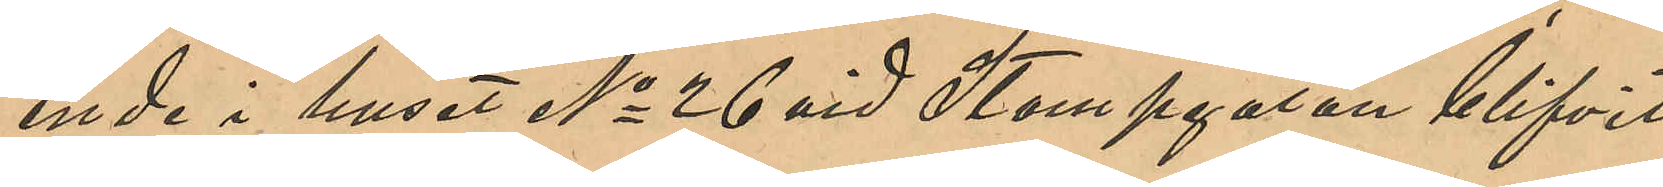ende i huset No 26 vid Stampgatan blifvit
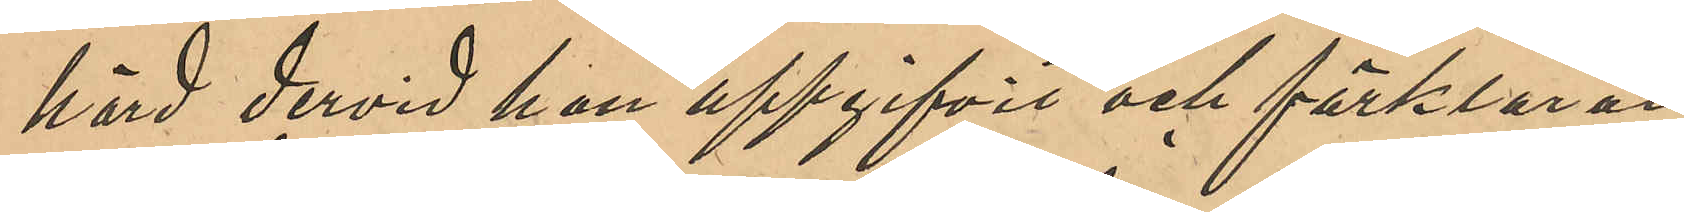hörd dervid hon uppgifvit och förklarat,
